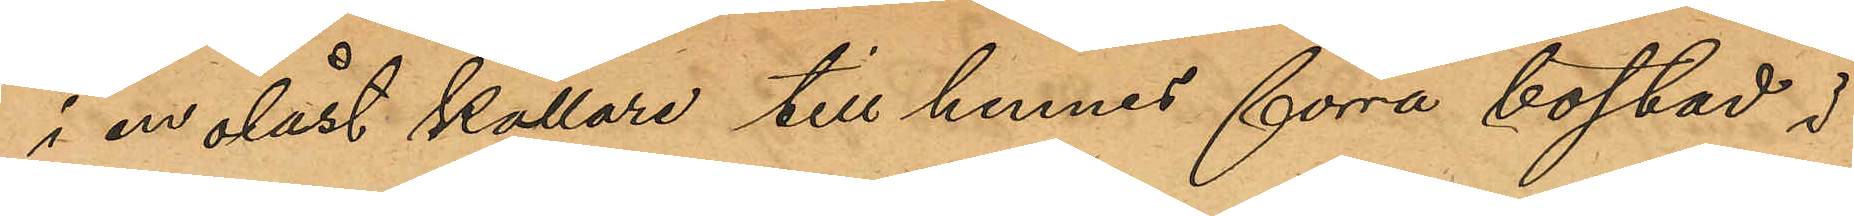i en olåst källare till hennes förra bostad i
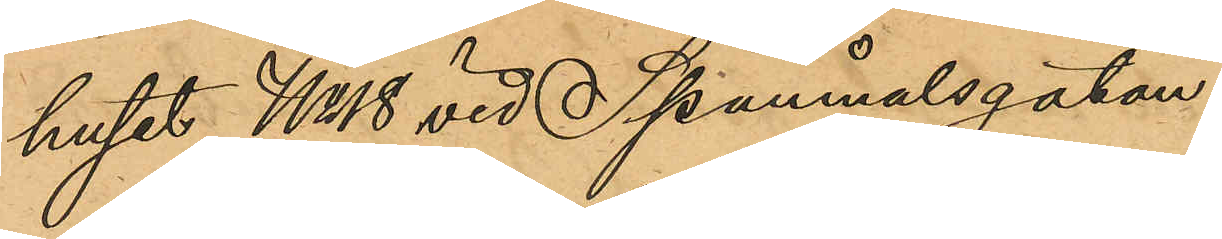huset No 18 vid Spannmålsgatan.
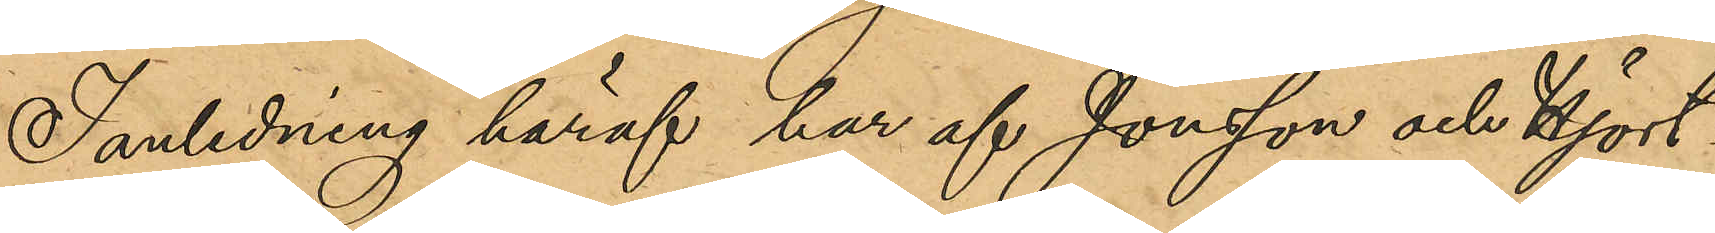I anledning häraf har af Jonsson och Hjort¬
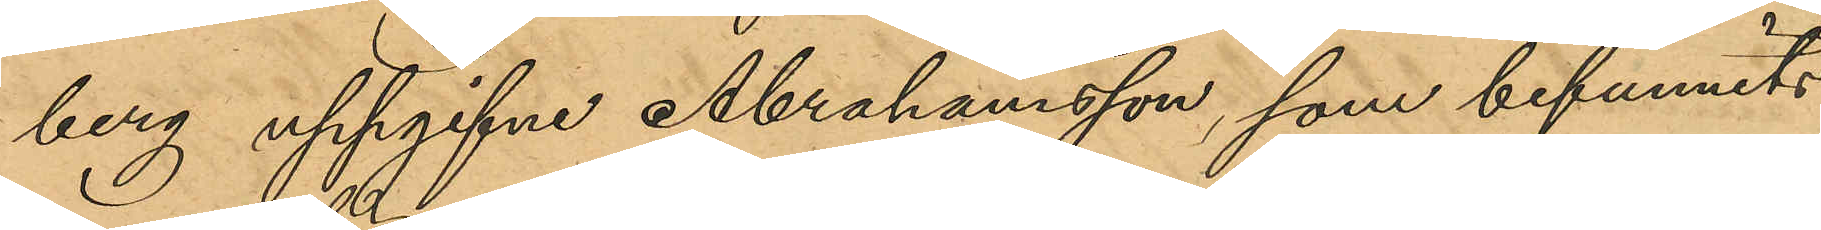berg uppgifne Abrahamsson, som befunnits
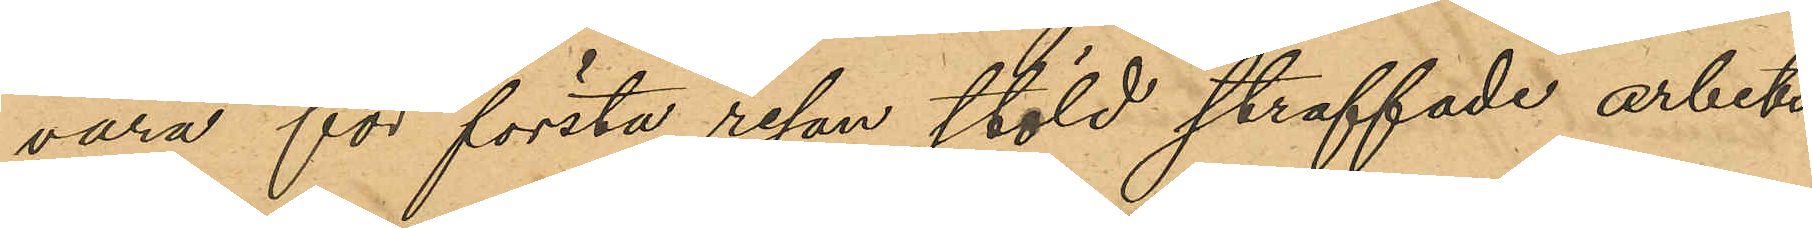vara för första resan stöld straffade arbets¬
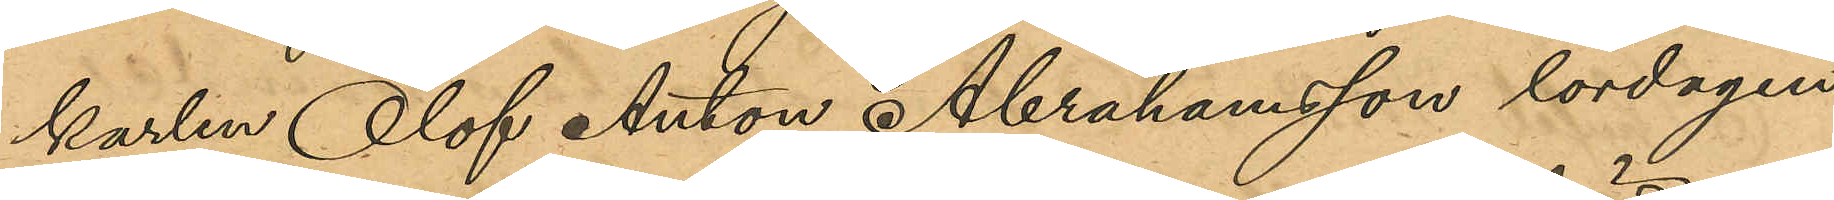karlen Olof Anton Abrahamsson lördagen
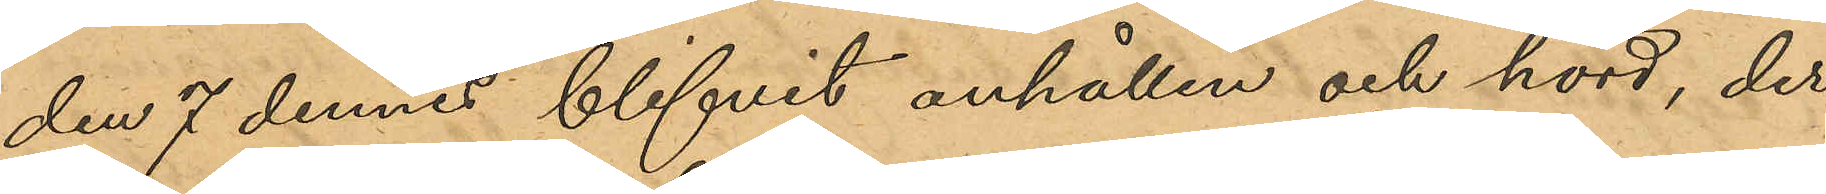den 7 dennes blifvit anhållen och hörd, der¬
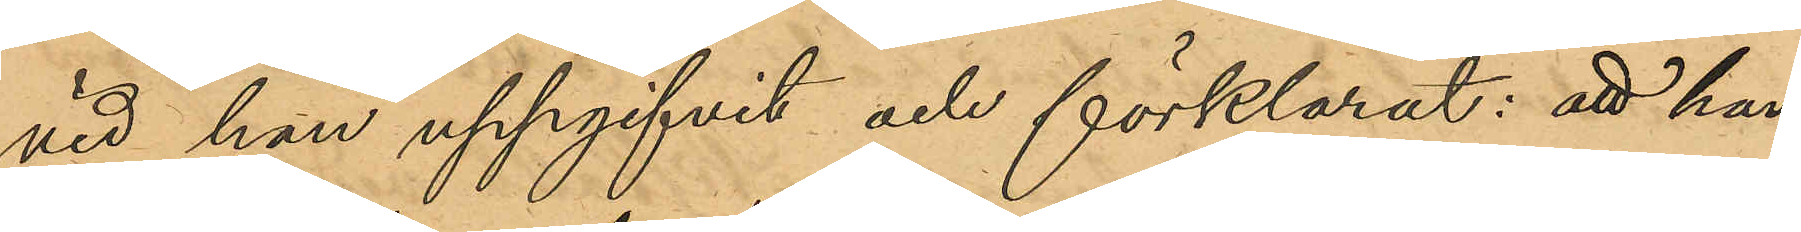vid han uppgifivt och förklarat: att han,
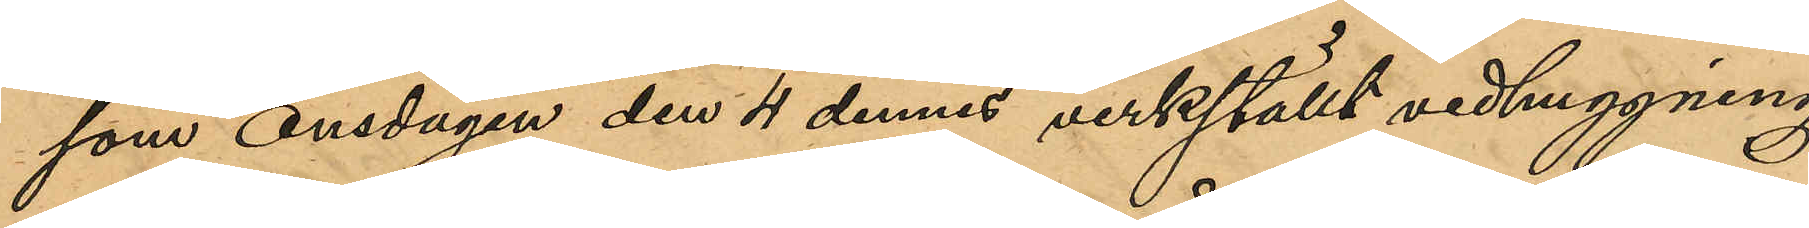som onsdagen den 4 dennes verkställt vedhuggning
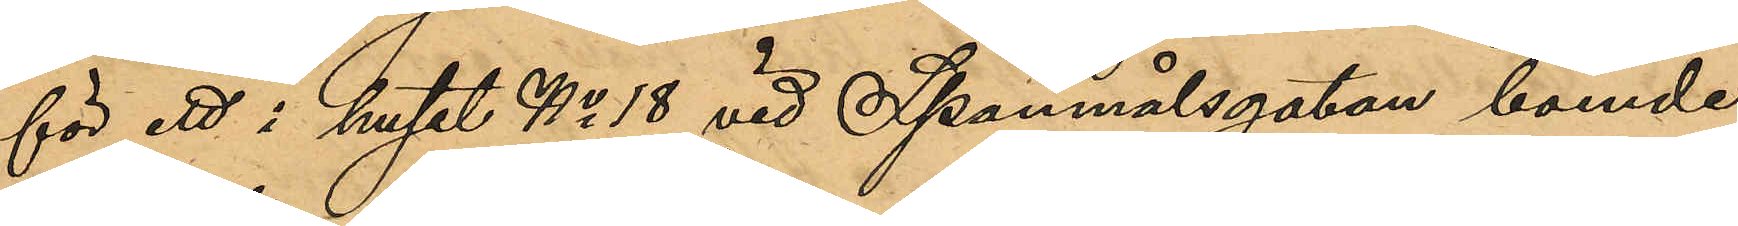för ett i huset No 18 vid Spannmålsgatan boende
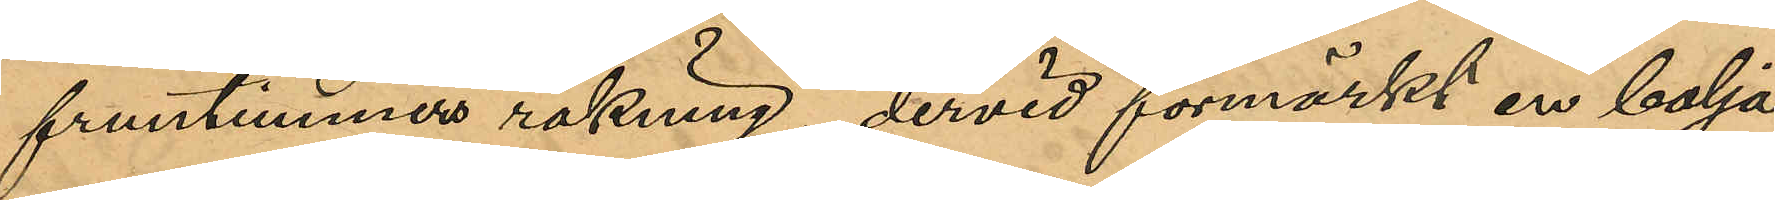fruntimmers räkning dervid förmärkt en balja
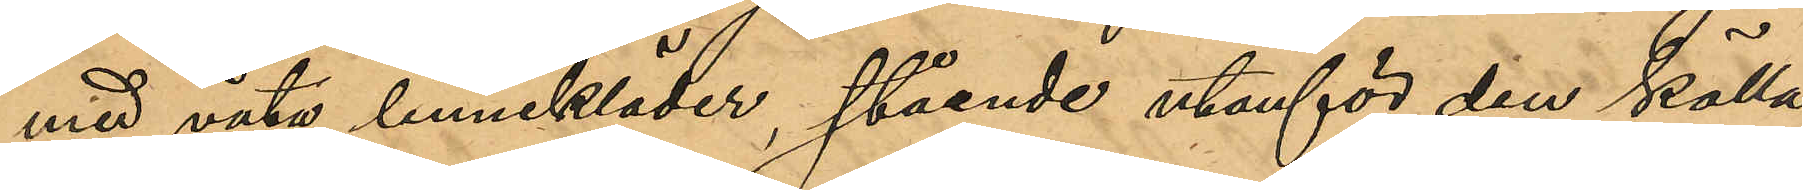med våta linnekläder, stående utanför den källa¬ 
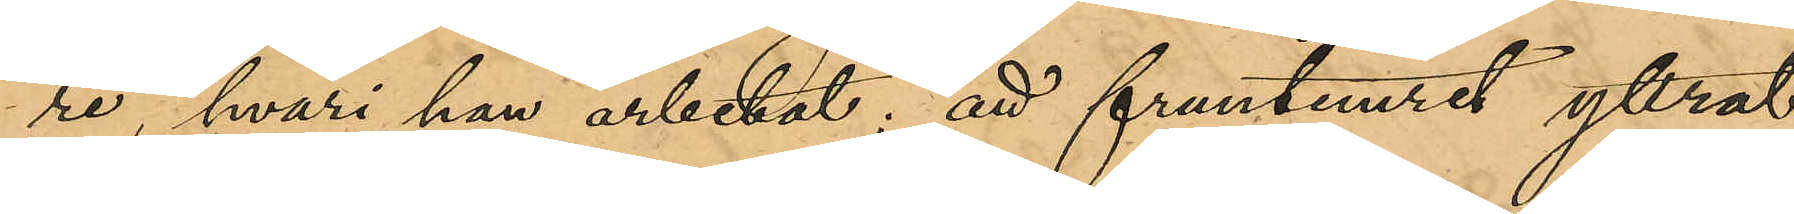re, hvari han arbetat; att fruntimret yttrat
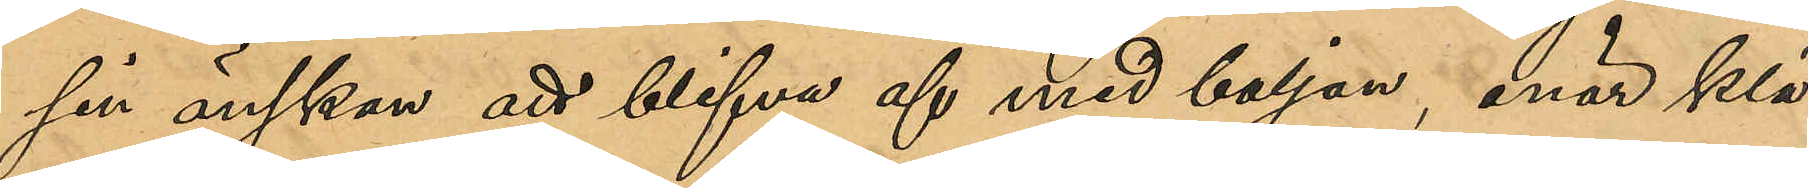sin önskan att blifva af med baljan, enär klä¬
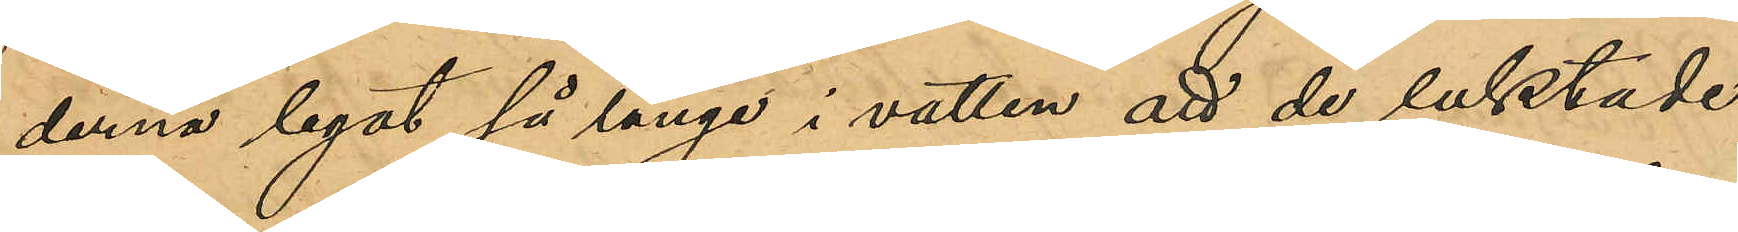derna legat så länge i vatten att de luktade
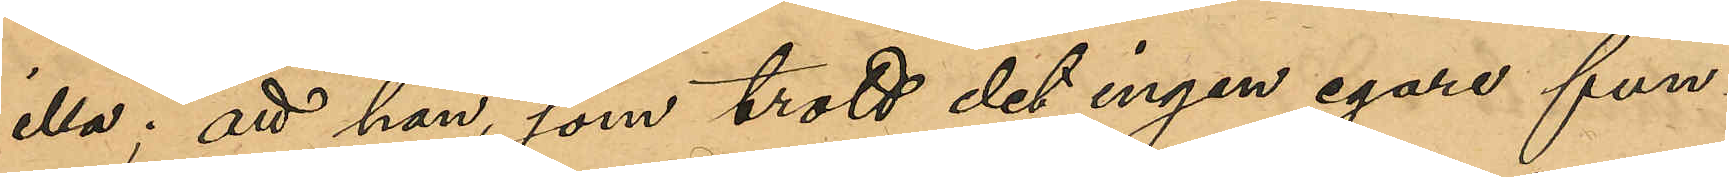illa; att han, som trott det ingen egare fun¬
